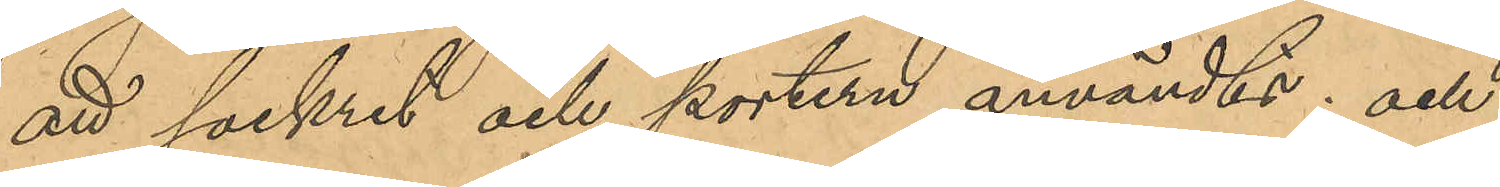att sockret och portern användts; och
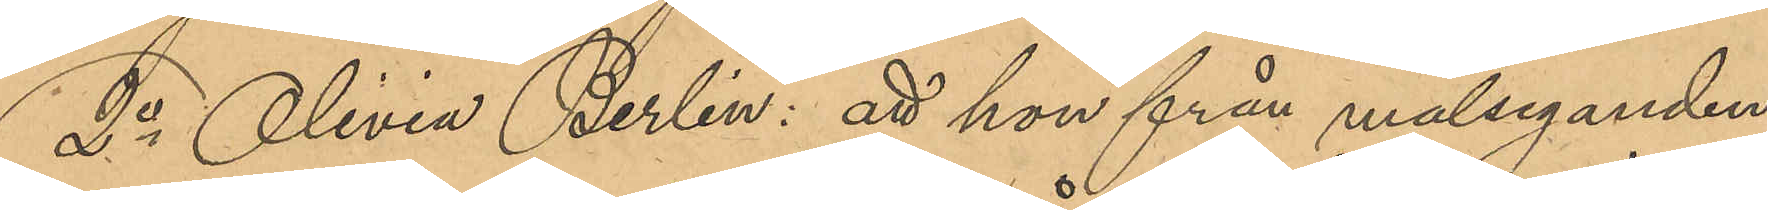2o Olivia Berlin: att hon från målseganden
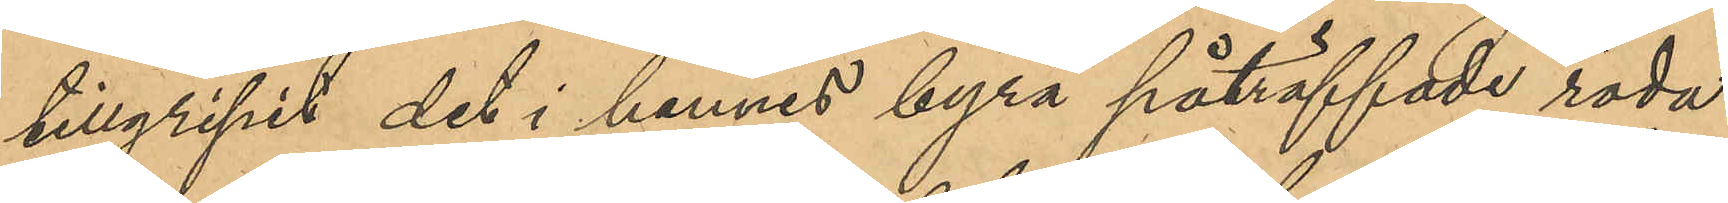tillgripit det i hennes byrå påträffade röda
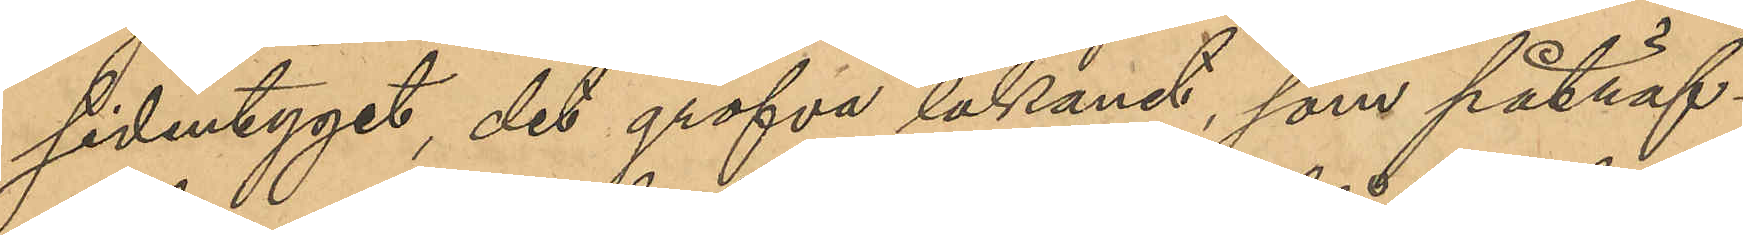sidentyget, det grofva lakanet, som påträf¬
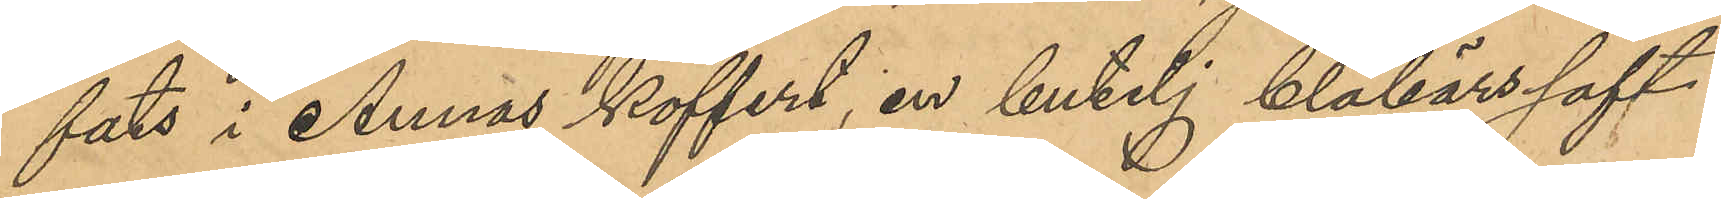fats i Annas koffert, en butelj blåbärssaft,
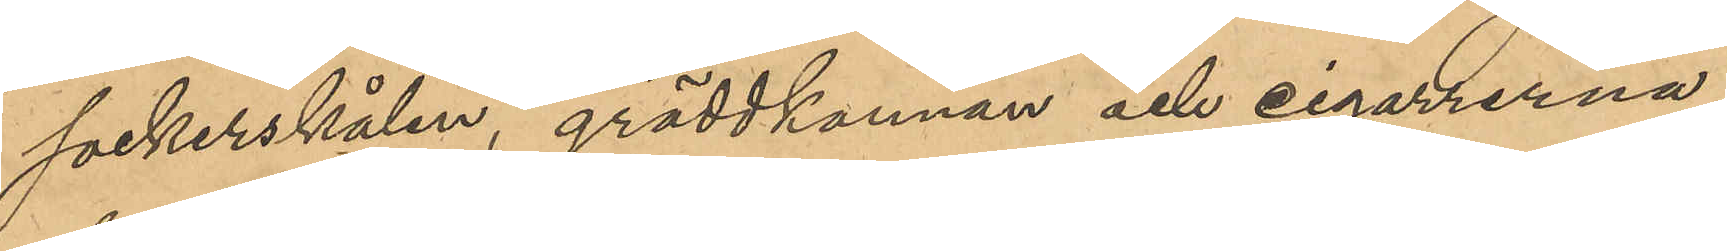sockerskålen, gräddkannan och cigarrerna;
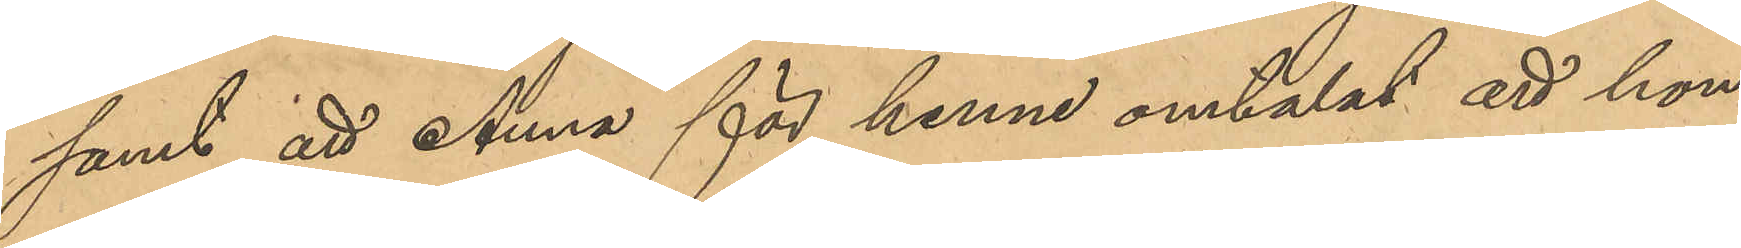samt att Anna för henne omtalat att hon
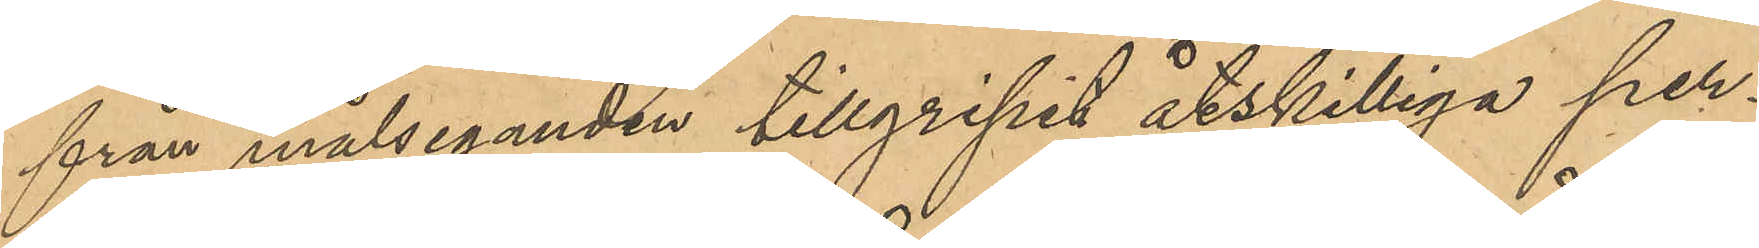från målseganden tillgripit åtskilliga per¬
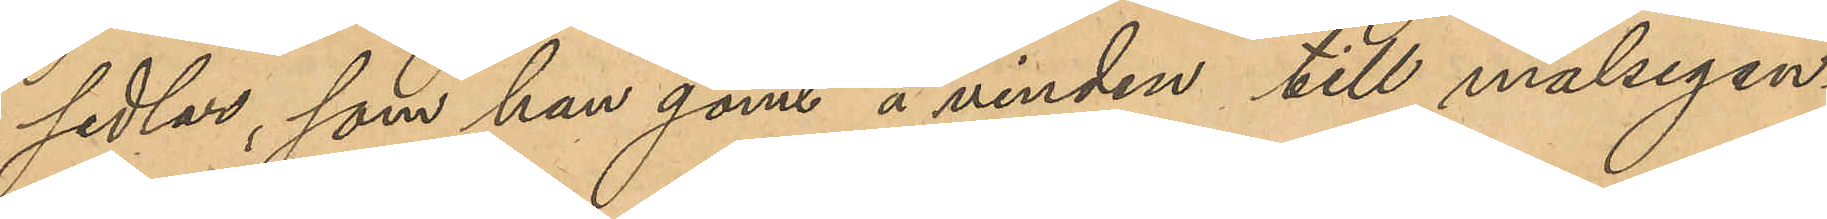sedlar, som hon gömt å vinden till målsegan¬
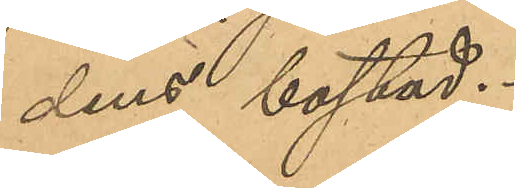dens bostad.
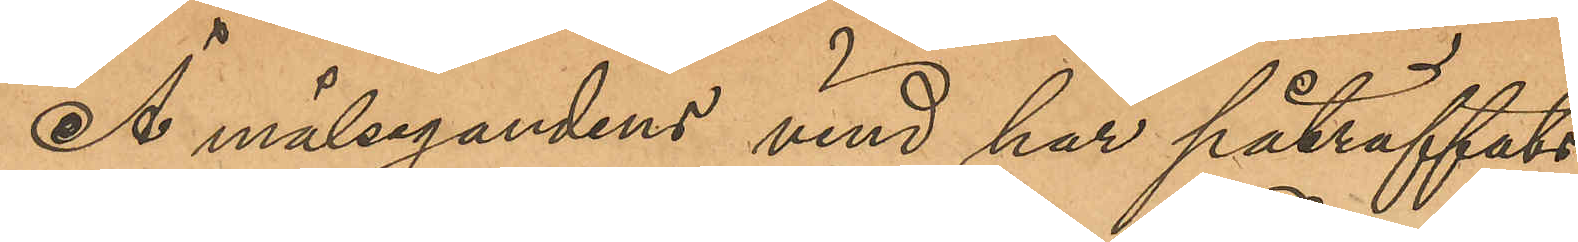Å målsegandens vind har påträffats
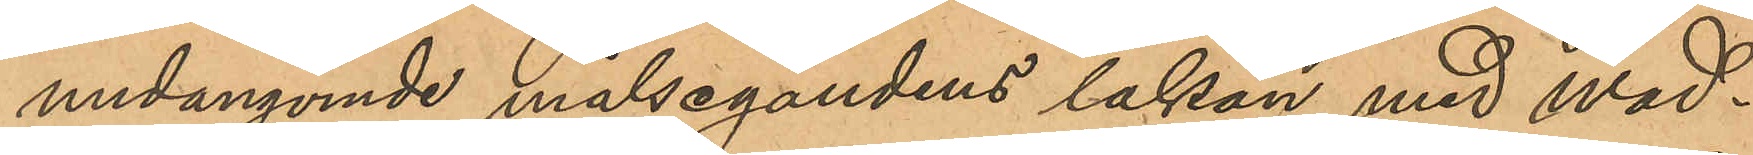undangömde målsegandens lakan med wad¬
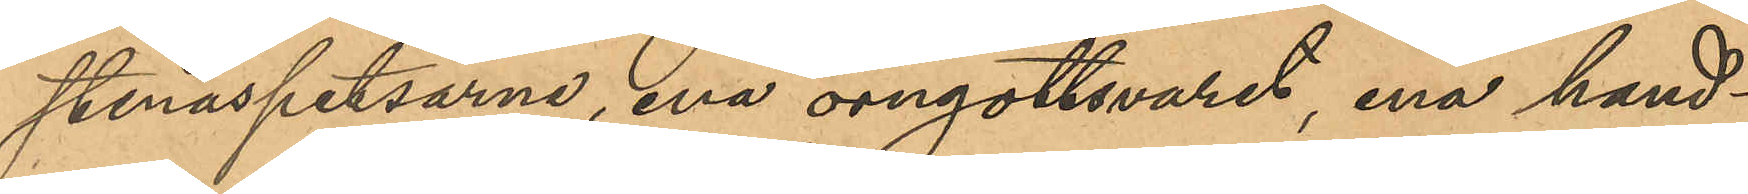stenaspetsarne, ena örngottsvaret, ena hand¬
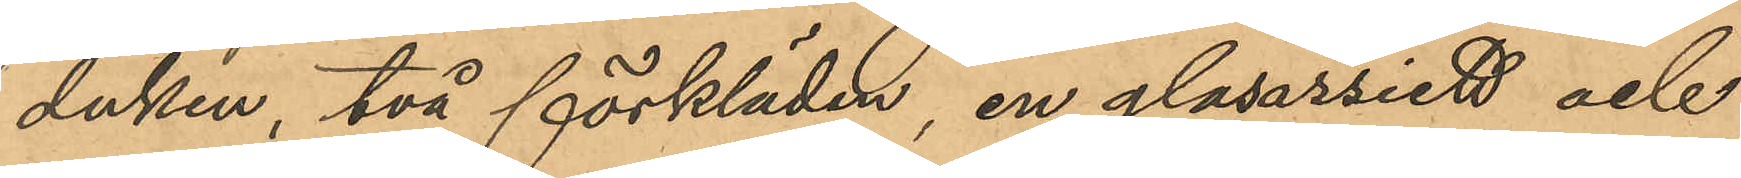duken, två förkläden, en glasassiett och
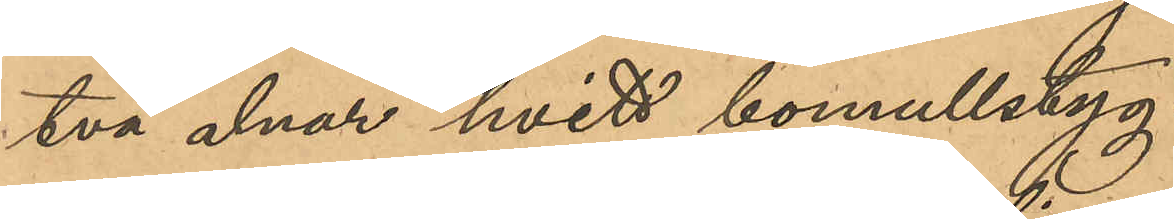två alnar hvitt bomullstyg.
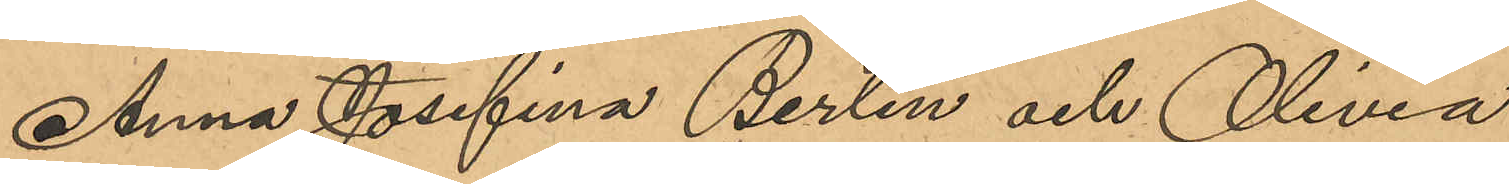Anna Josefina Berlin och Olivia
